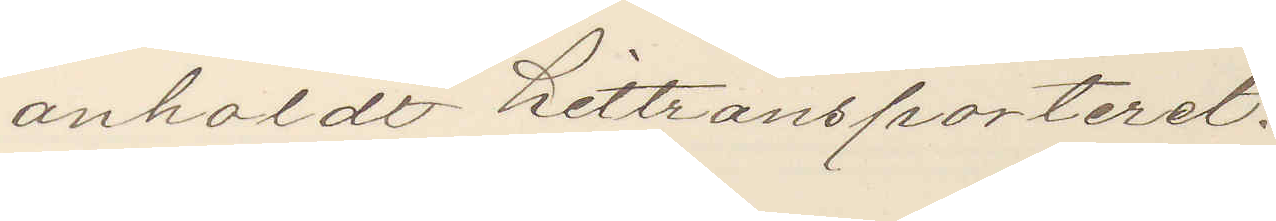andholdt hitransporteret.
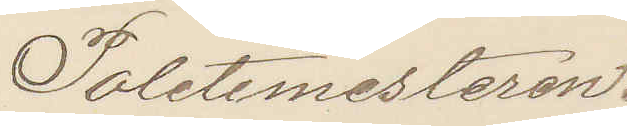Politimesteren.
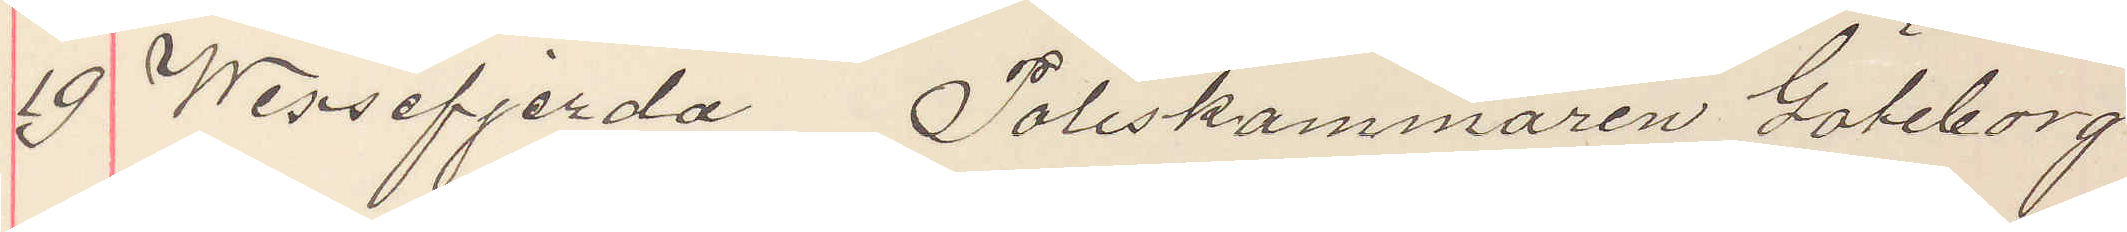19 Wissefjerda  Poliskammaren Göteborg.
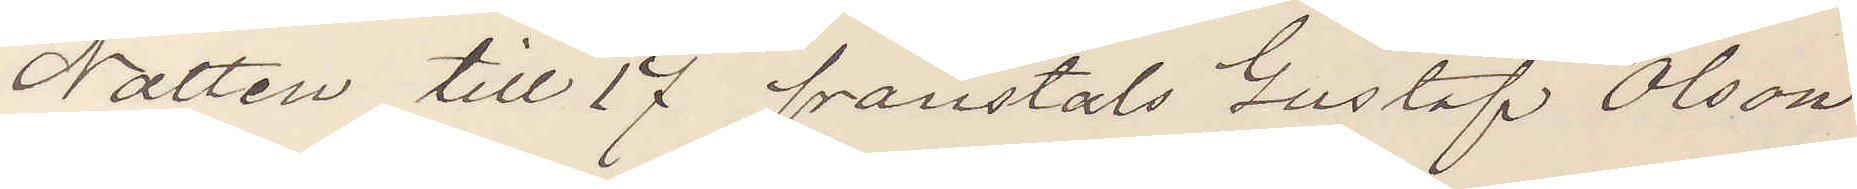Natten till 17 frånstals Gustaf Olson
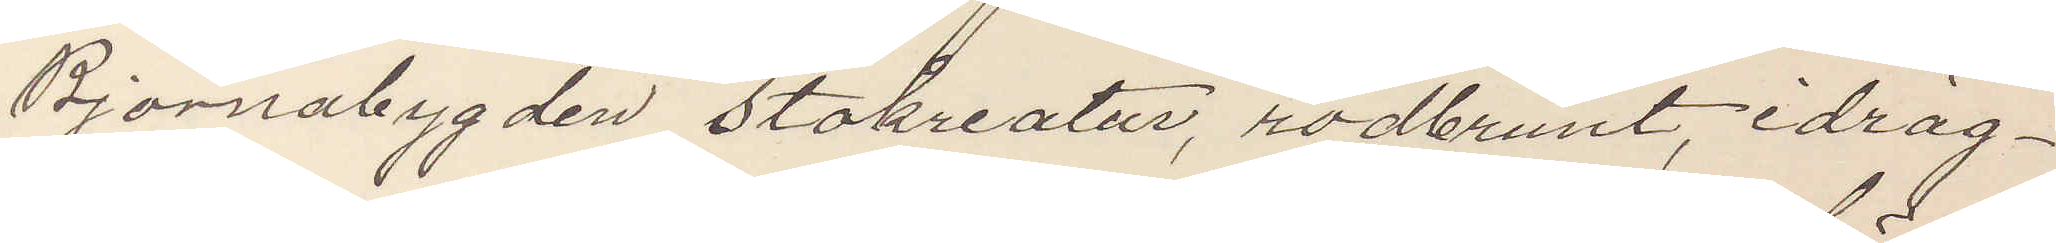Björnbygden stokreatur, rödbrunt, idräg¬
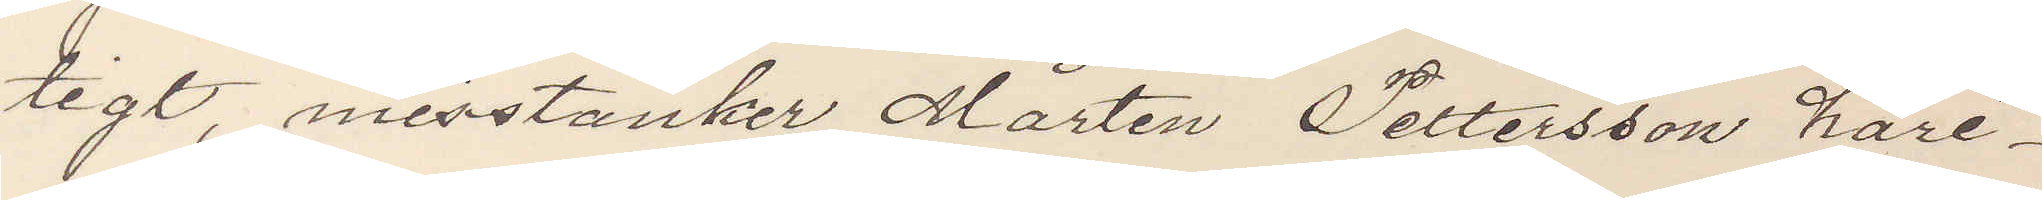tigt, misstänker Mårten Pettersson häri¬
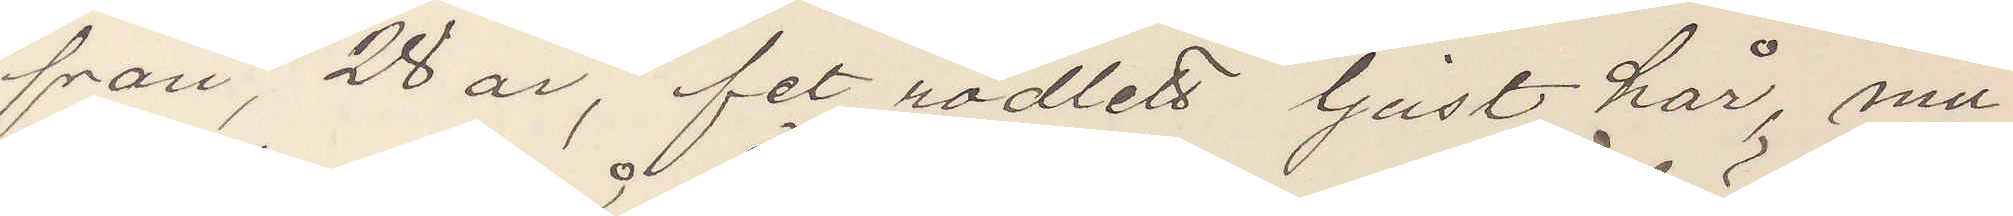från, 28 år, fet rödlett ljust hår, mu¬
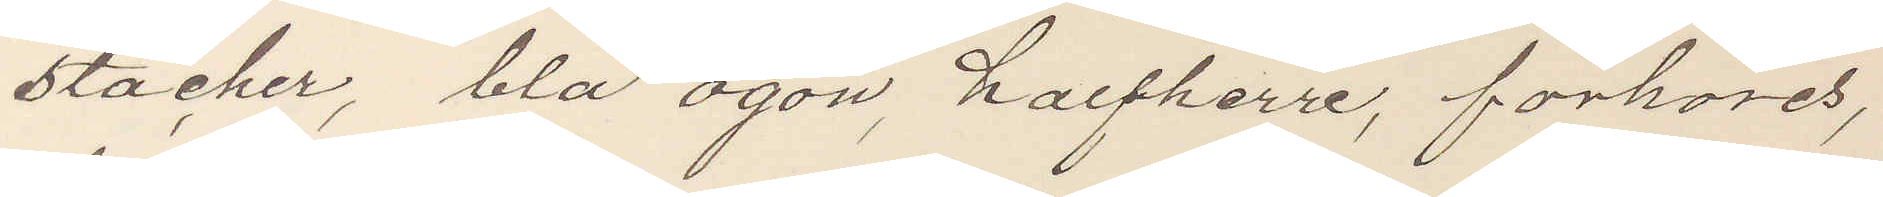stacher, blå ögon, halfherre, förhöres,
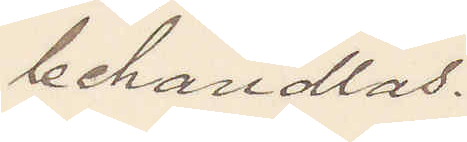behandlas.
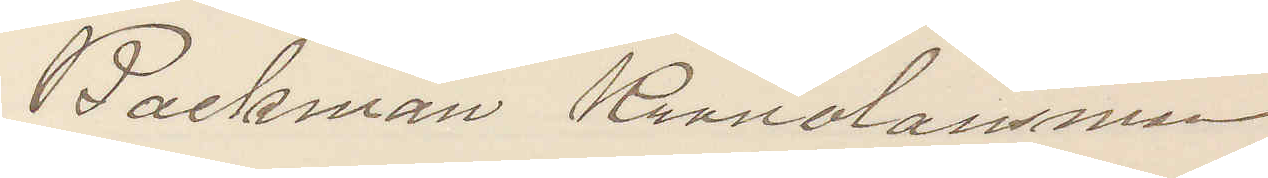Bäckman Kronolänsman.
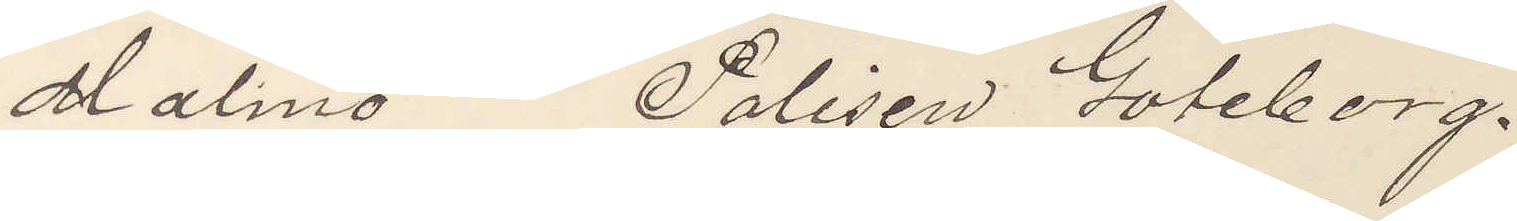Malmö Polisen Göteborg.
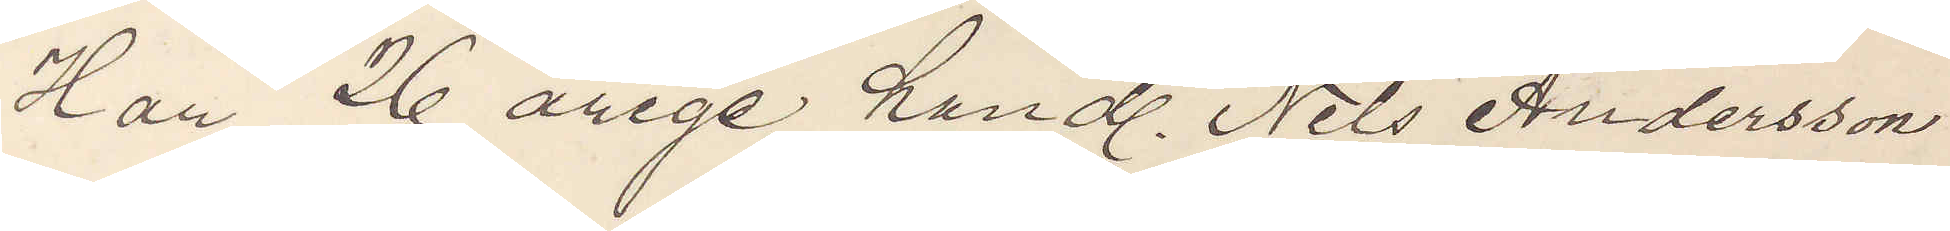Har 26 årige handl. Nils Andersson
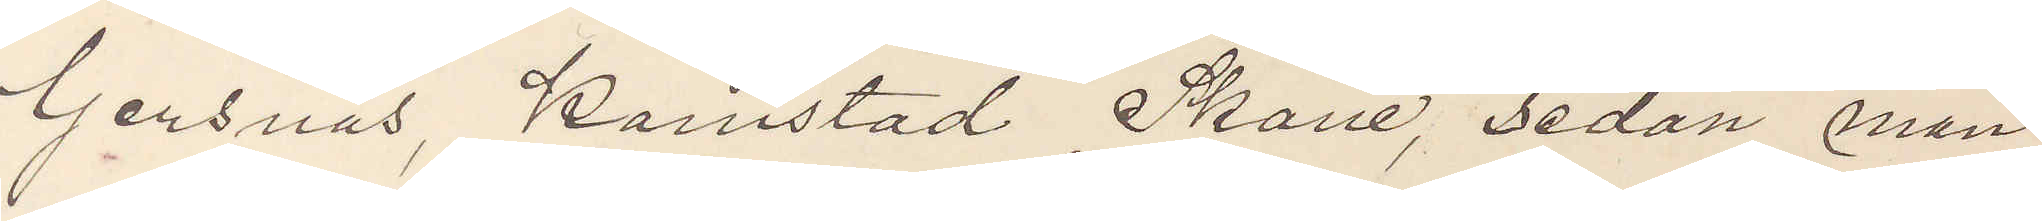Gersnäs, Komstad Skåne, sedan mån¬
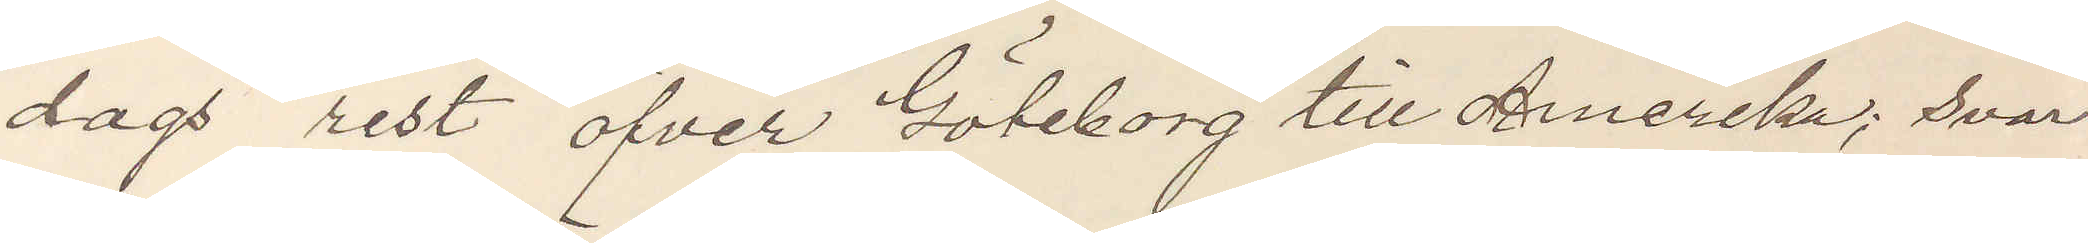dags rest öfver Göteborg till Amerika; svar
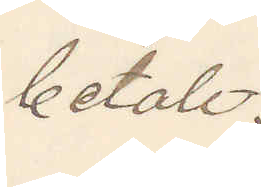betalt.
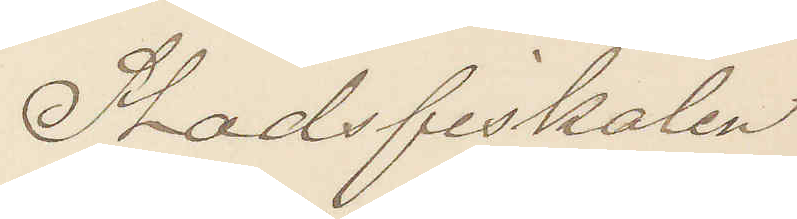Stadsfiskalen
